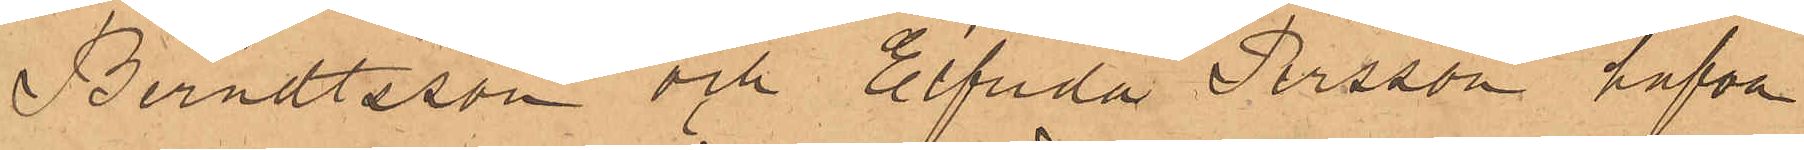Berndtsson och Elfrida Persson hafva
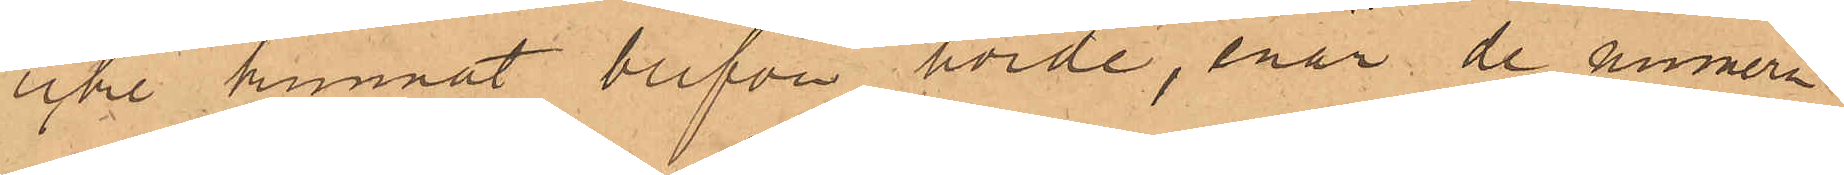icke kunnat blifva hörde, enär de numera
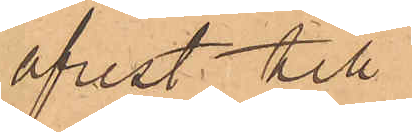afrest till
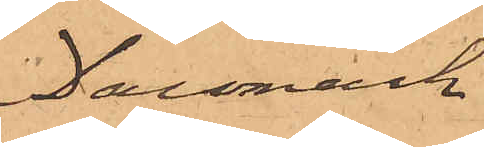Danmark
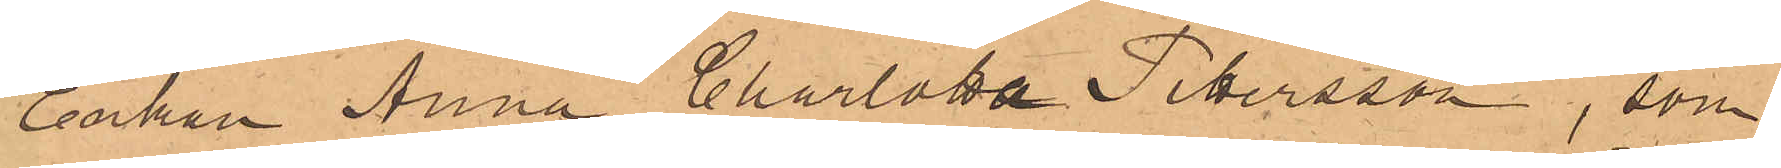Enkan Anna Charlotta Pettersson, som
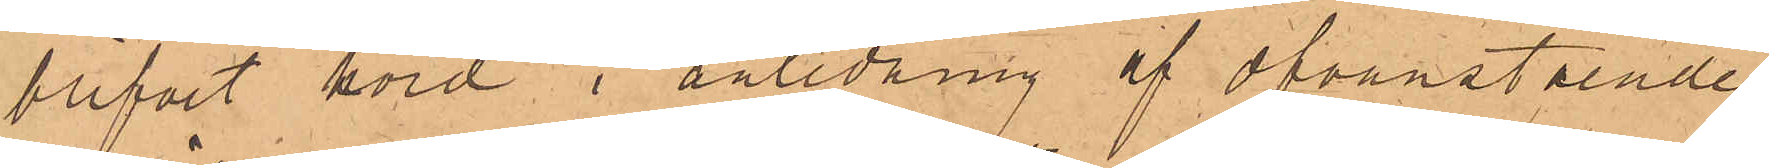blifvit hörd i anledning af ofvanstående
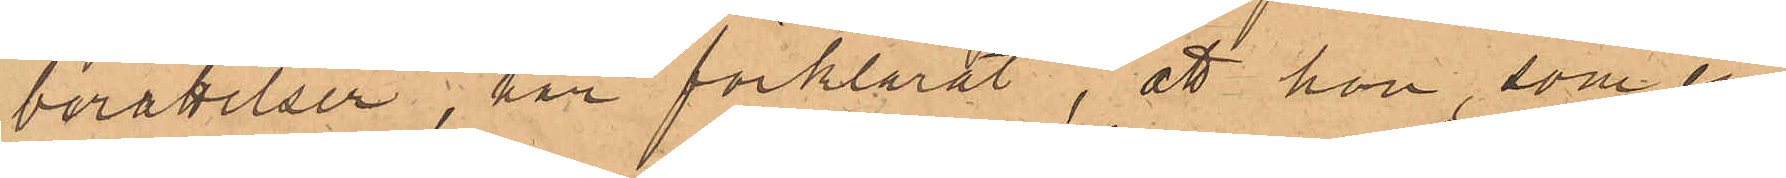berättelser, har förklarat, att hon, som en
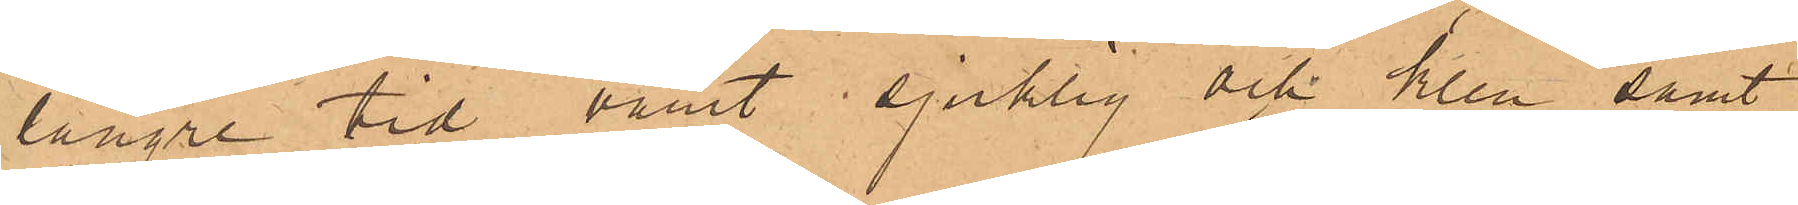längre tid varit sjuklig och klen samt
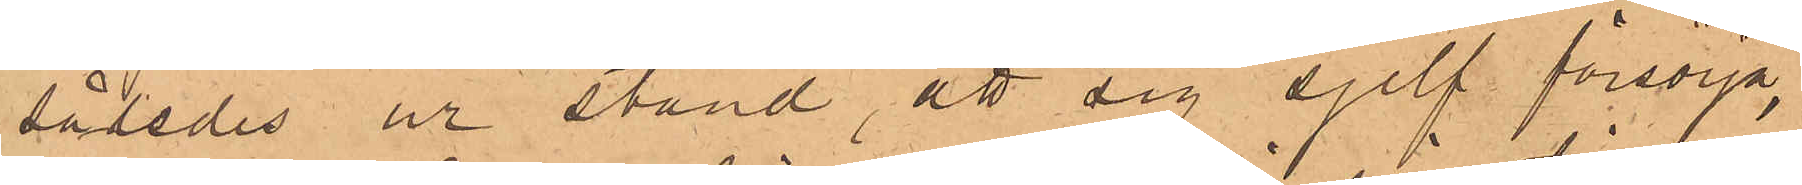således ur stånd, att sig sjelf försörja,
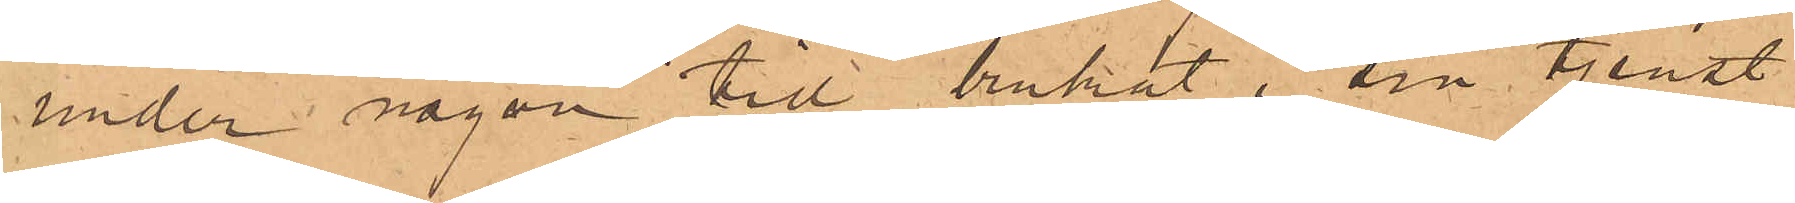under någon tid brukat i sin tjenst
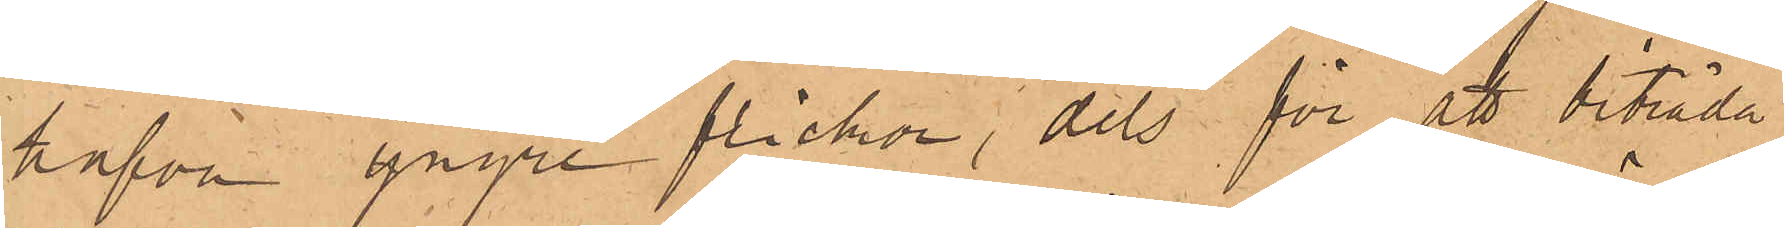hafva yngre flickor, dels för att biträda
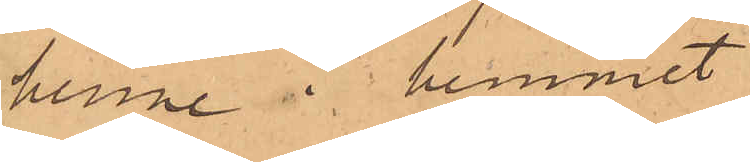henne i hemmet
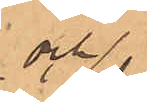och
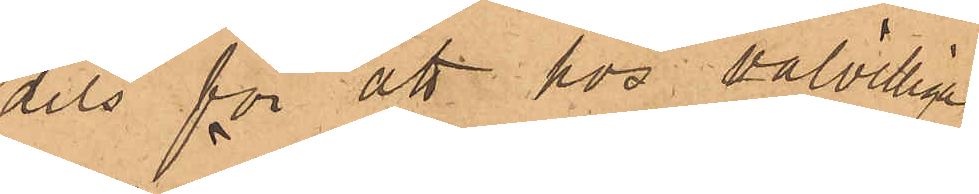dels för att hos välvilliga
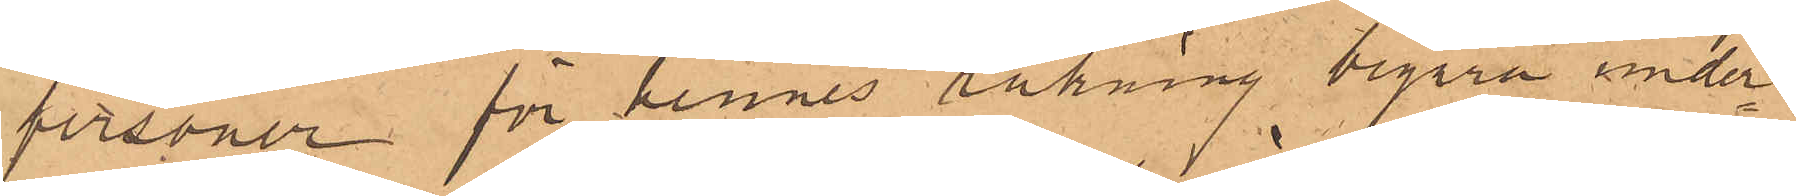personer för hennes räkning begära under¬
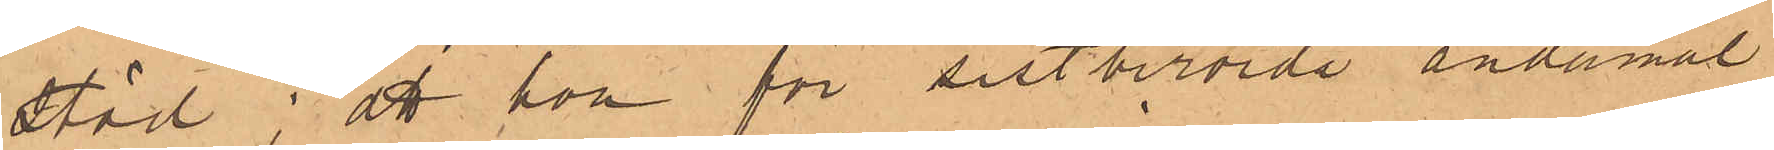stöd; att hon för sistberörde ändamål
